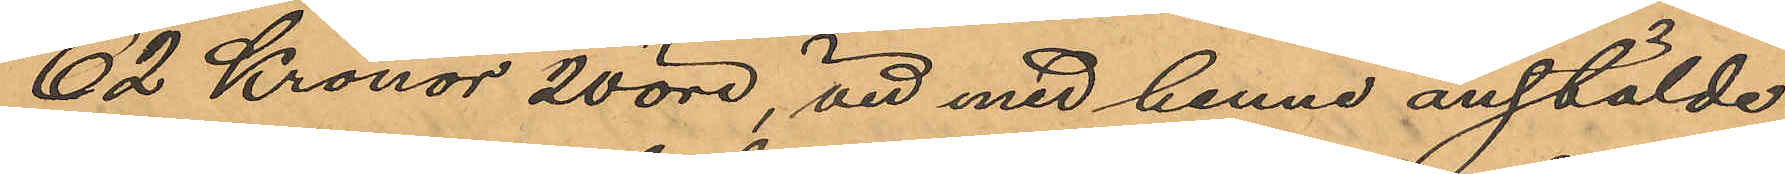62 Kronor 20 öre, vid med henne anstälde
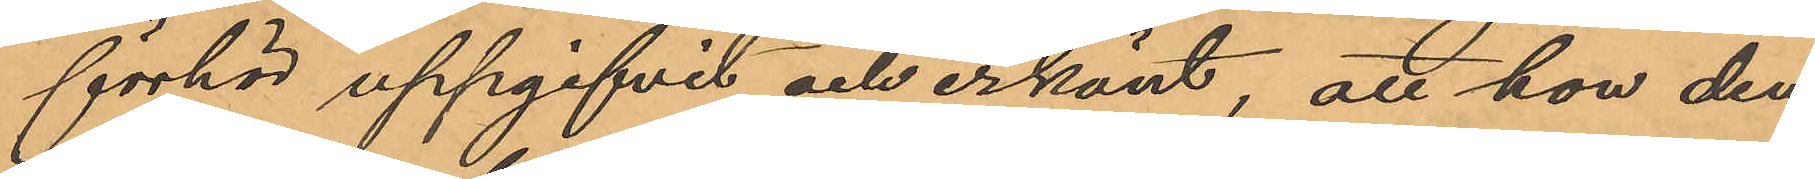förhör uppgifvit och erkänt, att hon den
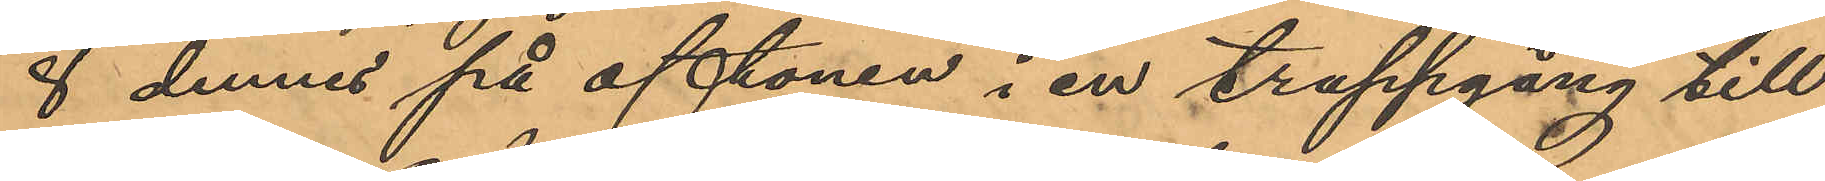8 dennes på aftonen i en trappgång till
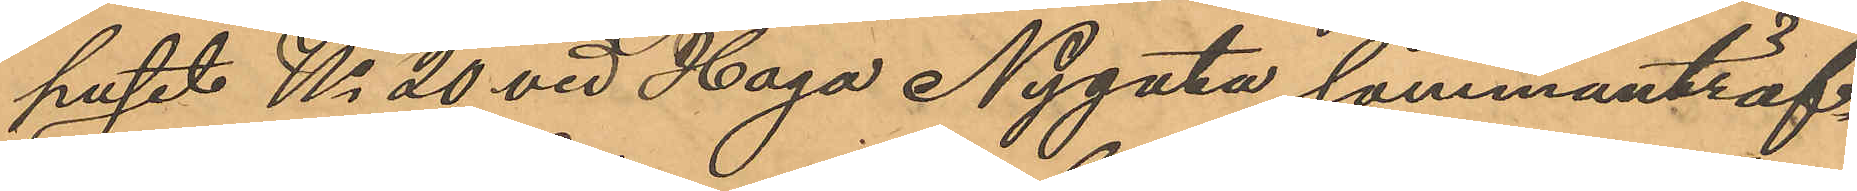huset No 20 vid Haga Nygata sammanträf¬
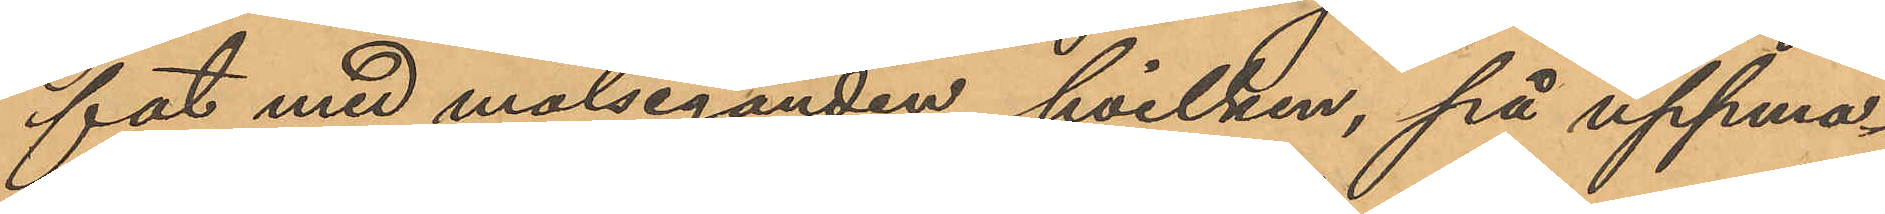fat med målseganden, hvilken, på uppma¬
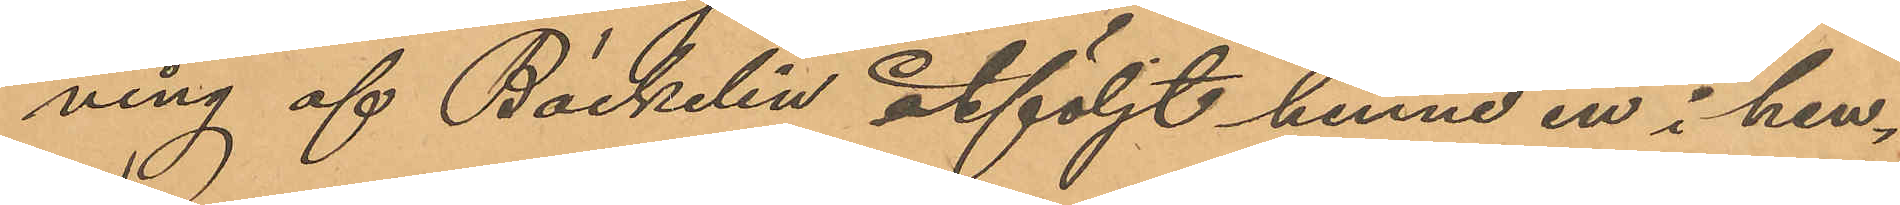ning af Bäckelin åtföljt henne in i hen¬
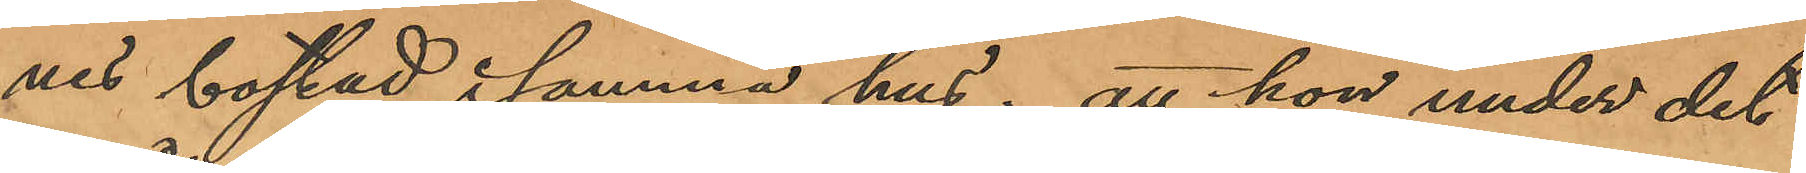nes bostad i samma hus; att hon under det
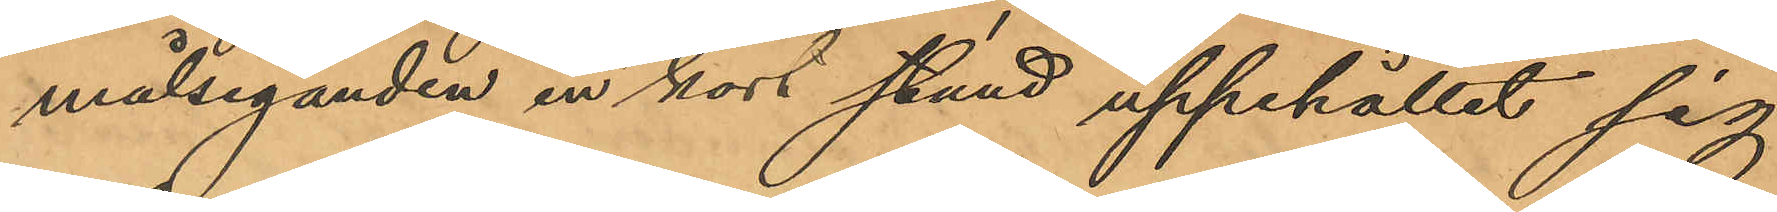målseganden en kort stund uppehållit sig
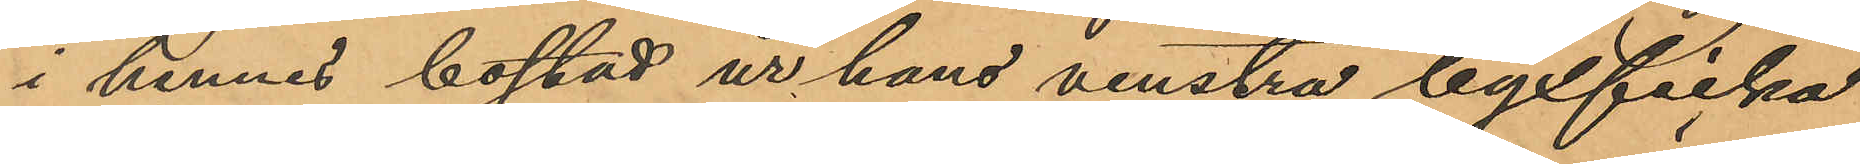i hennes bostad ur hans venstra byxficka
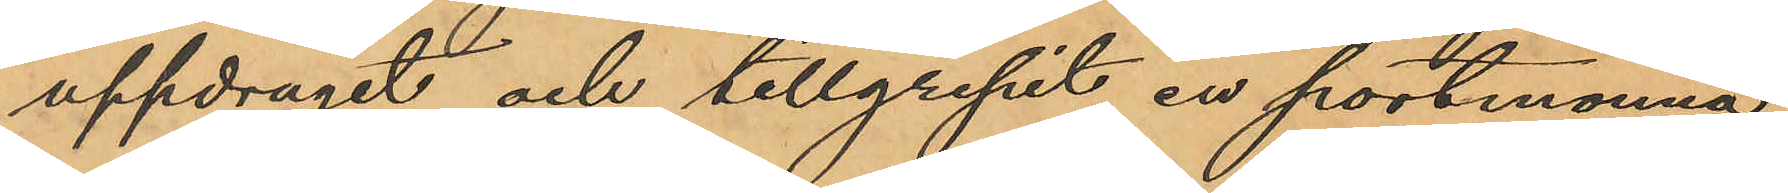uppdragit och tillgripit en portmonnä
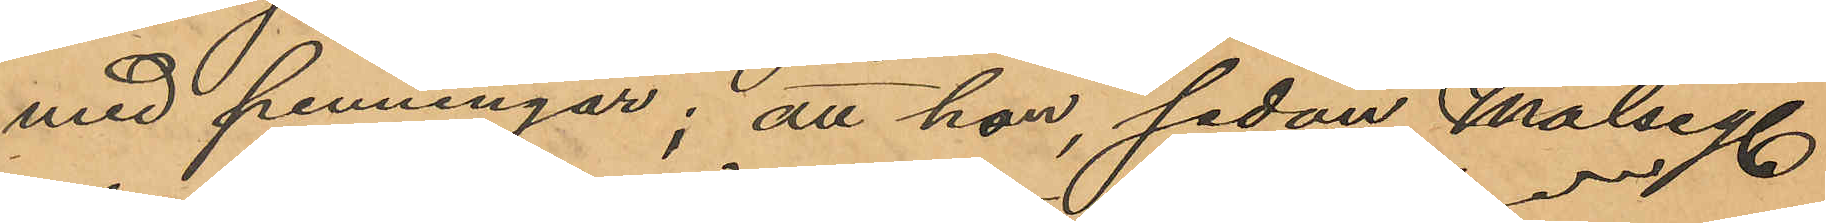med penningar; att hon, sedan Målsegn
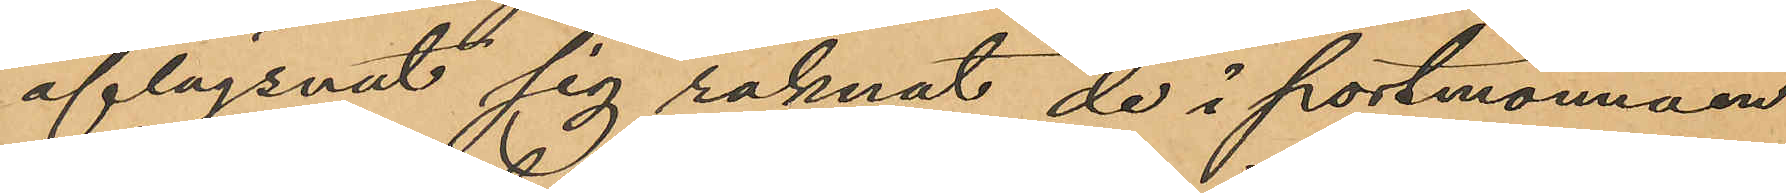aflägsnat sig räknat de i portmonnäen
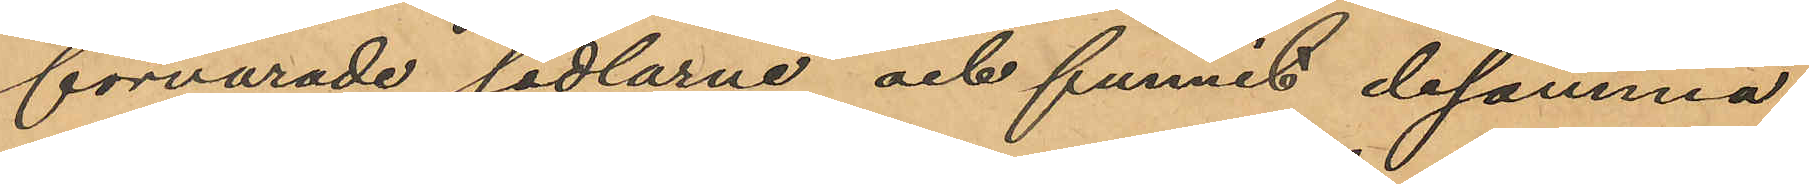förvarade sedlarne och funnit desamma
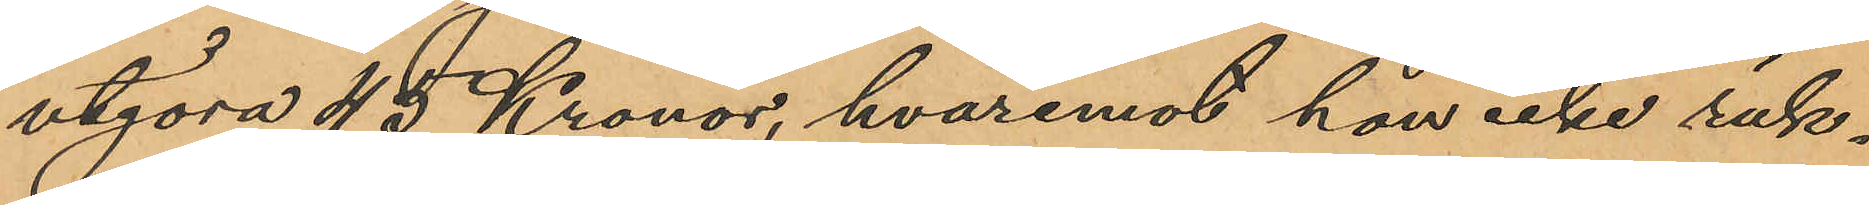utgöra 45 Kronor, hvaremot hon icke räk¬
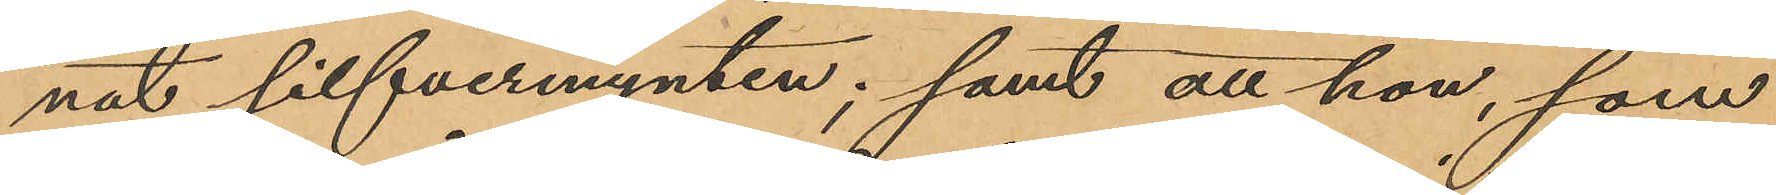nat silfvermynten; samt att hon, som
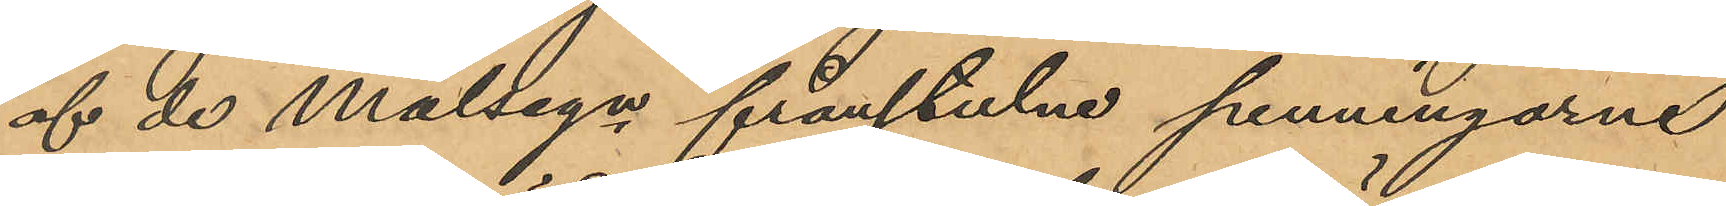af de målsegn frånstulne penningarne
